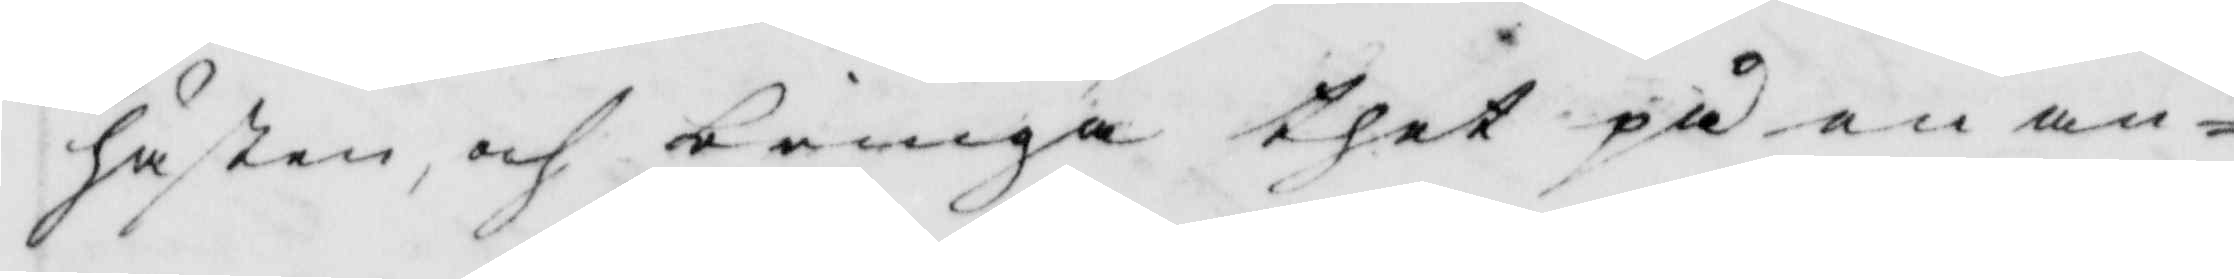hästen, och bringa thet på en an¬
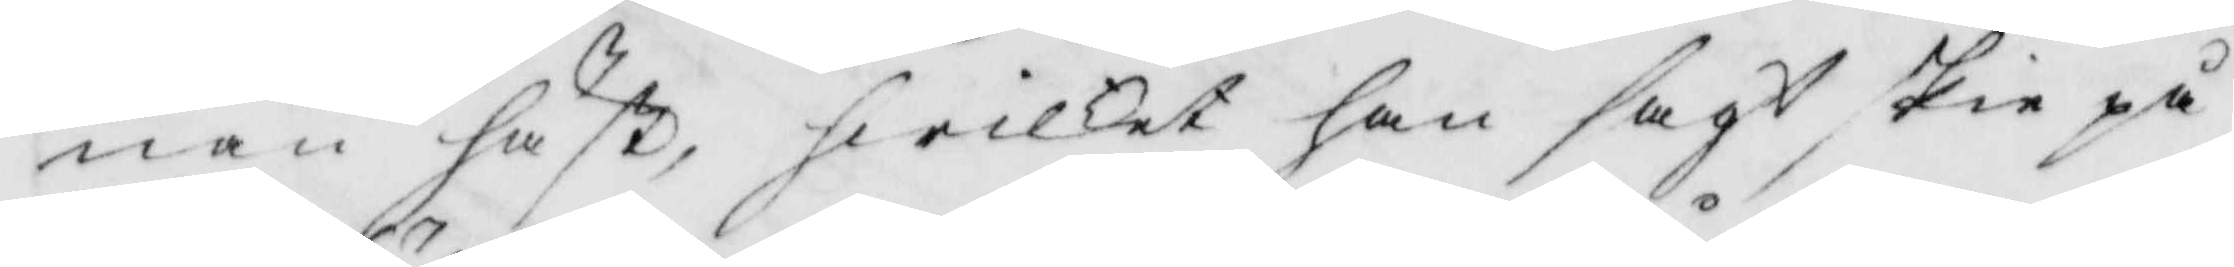nan häst, hwilket han sagt skie på
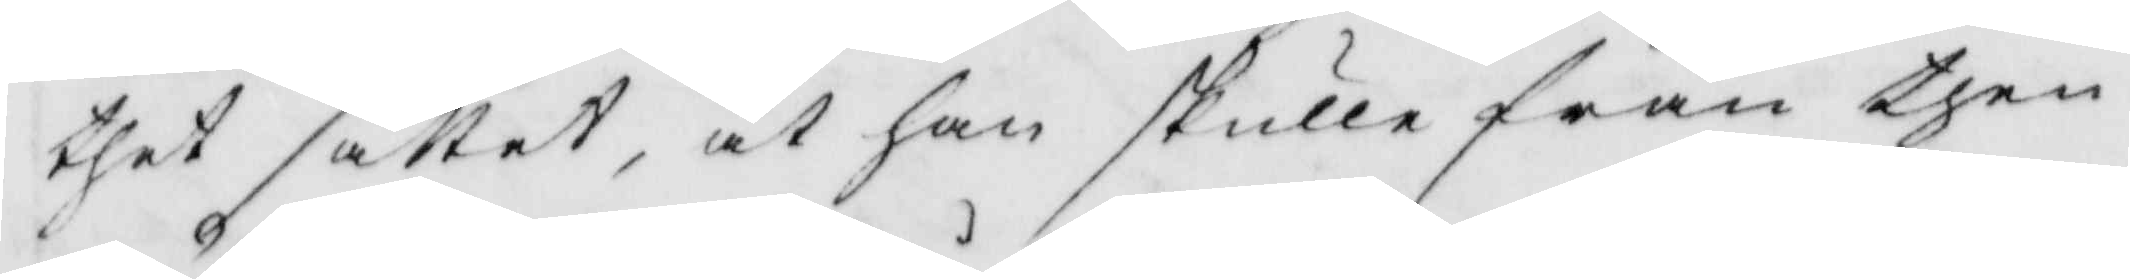thet sättet, at han skulle från then
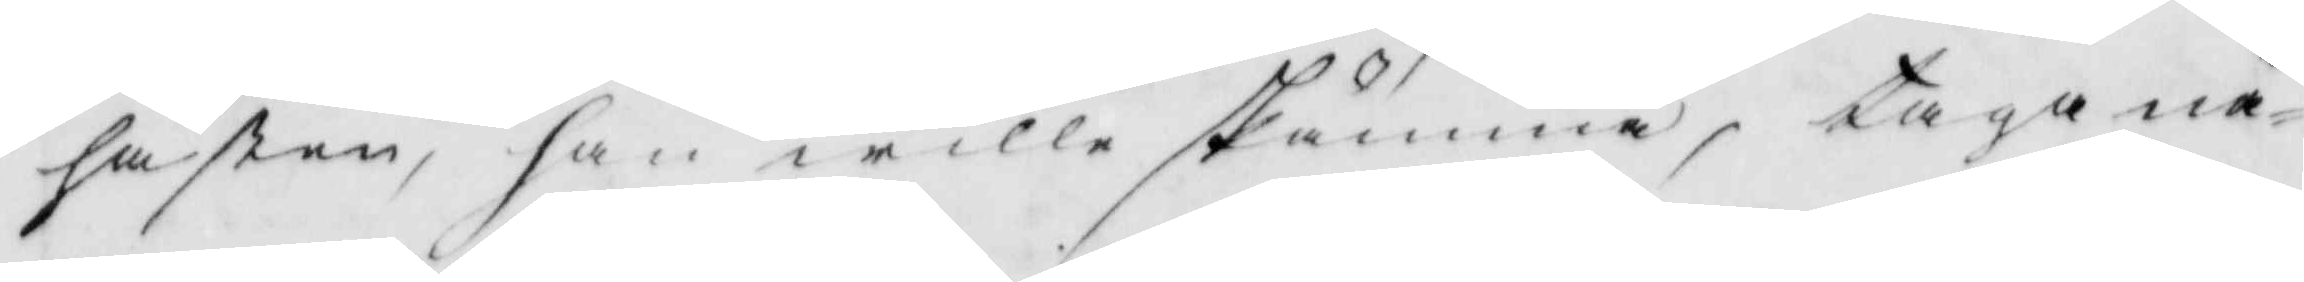hästen, han wille skämma, taga nå¬
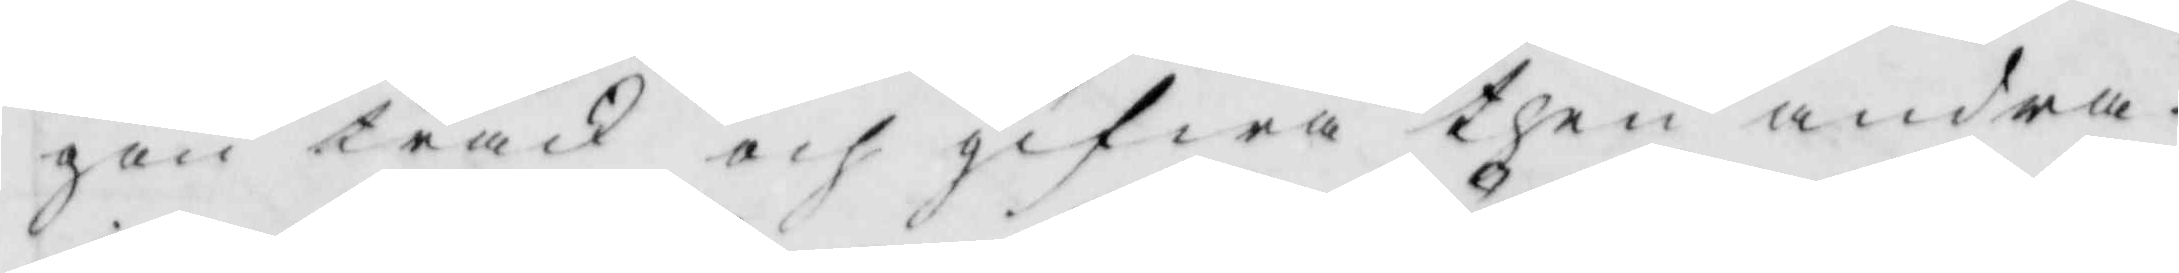gon träck och gifwa then andra
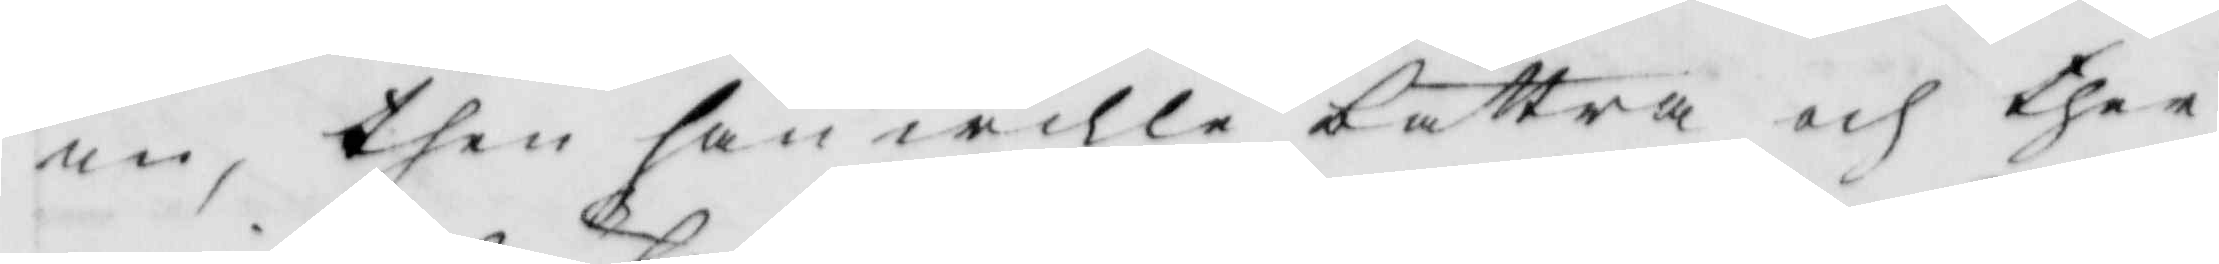in, then han wille bättra och ther
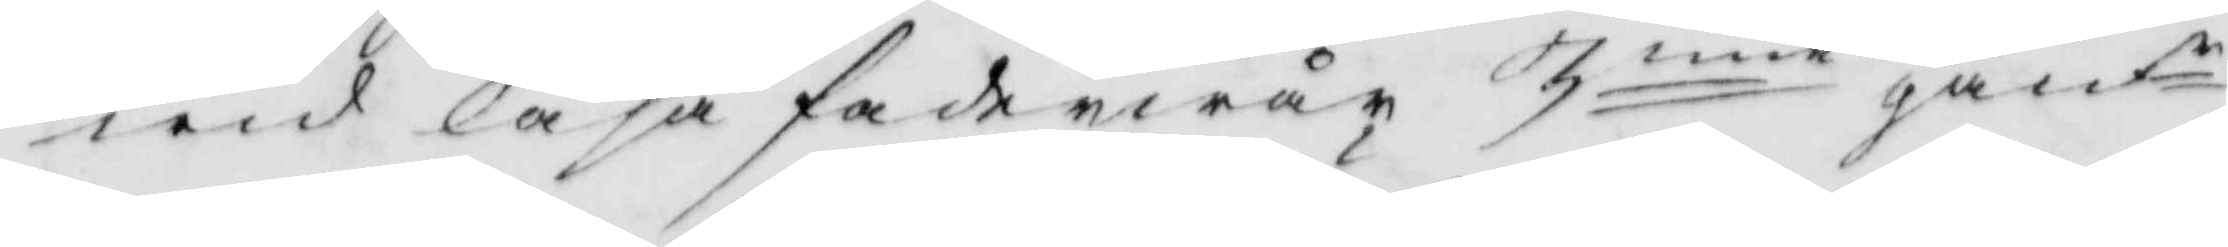wid läsa fader wår 3nne gånr 
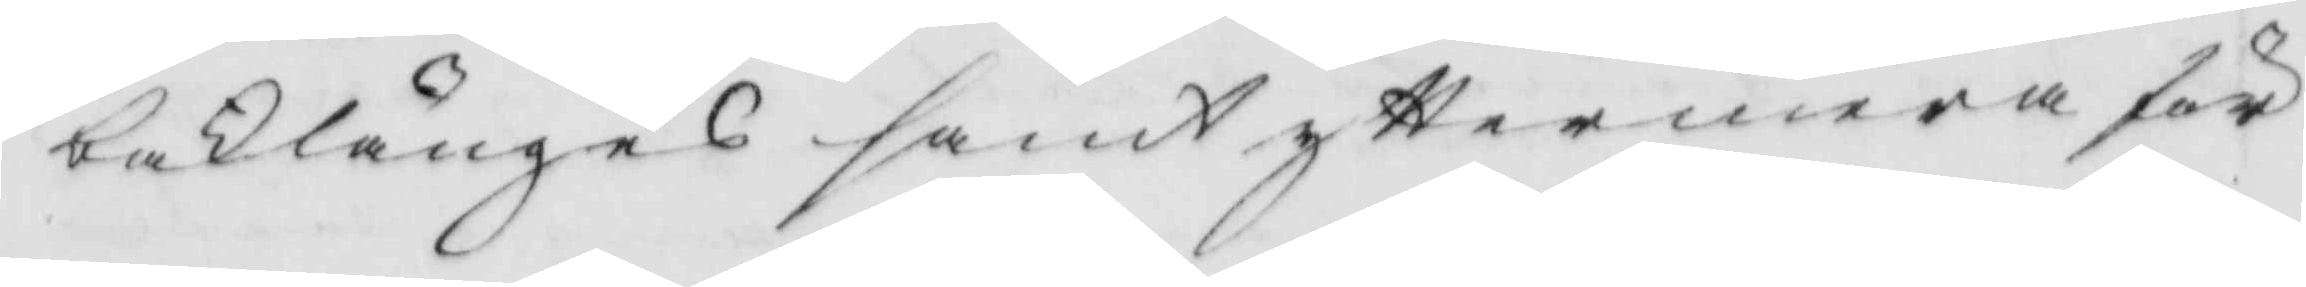baklänges samt yttermera för
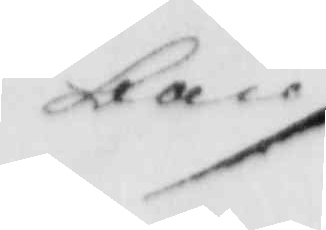ban./.
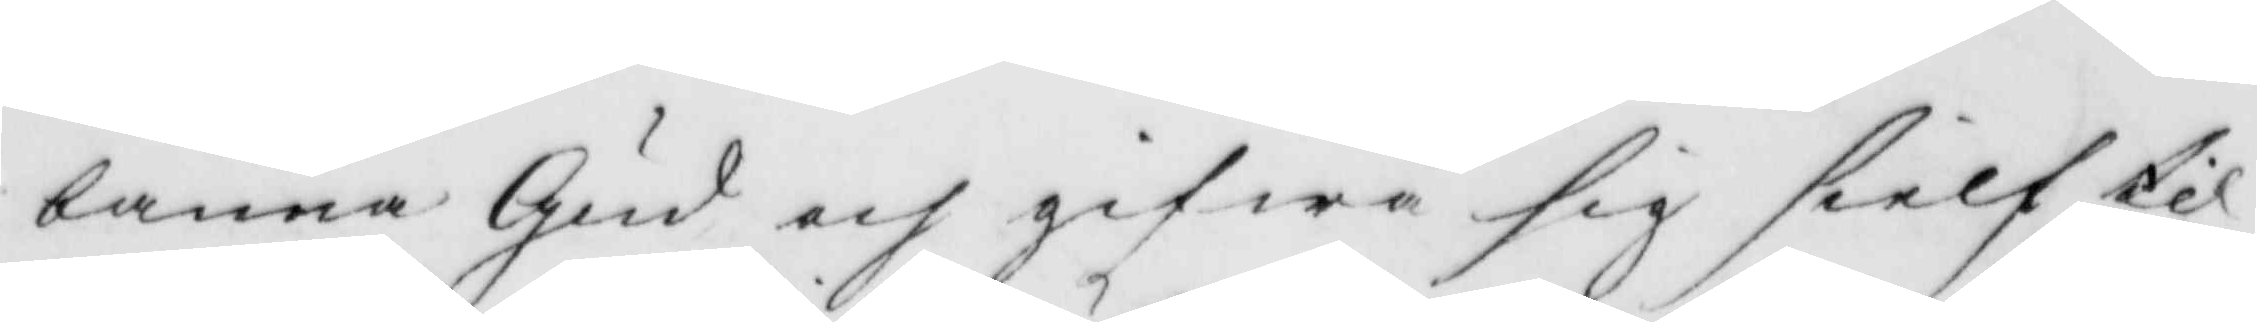banna Gud och gifwa sig sielf til
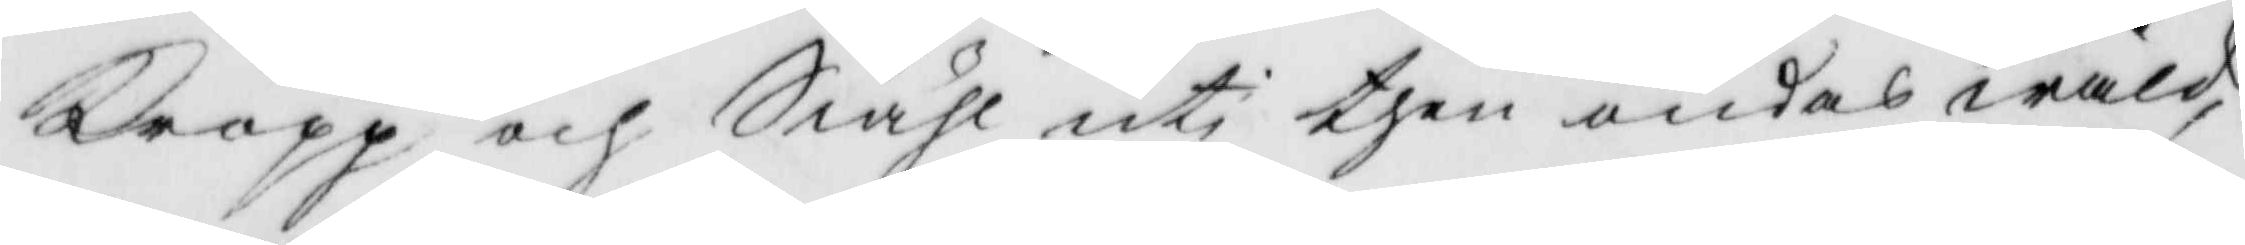kropp och Siähl uti then ondas wåld,
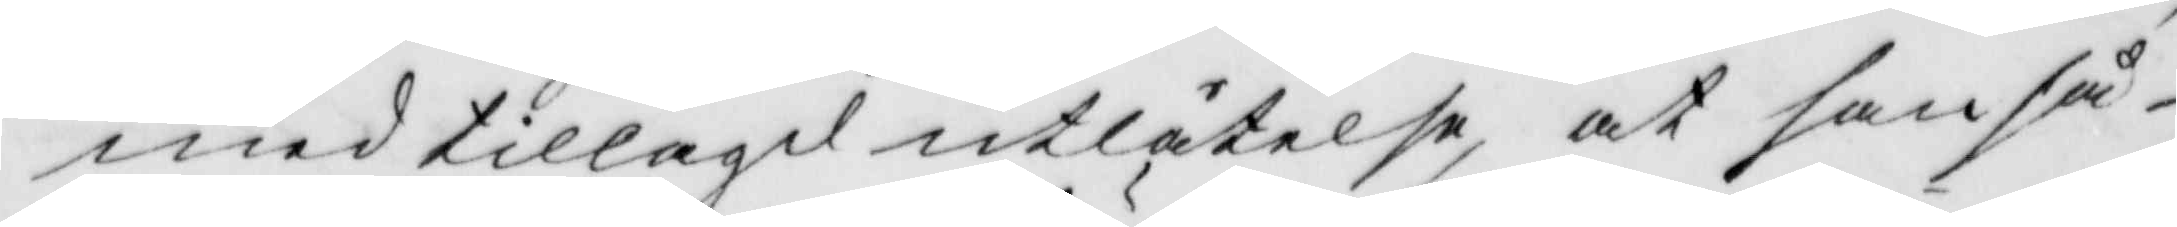med tillagd utlåtelse, at han så¬
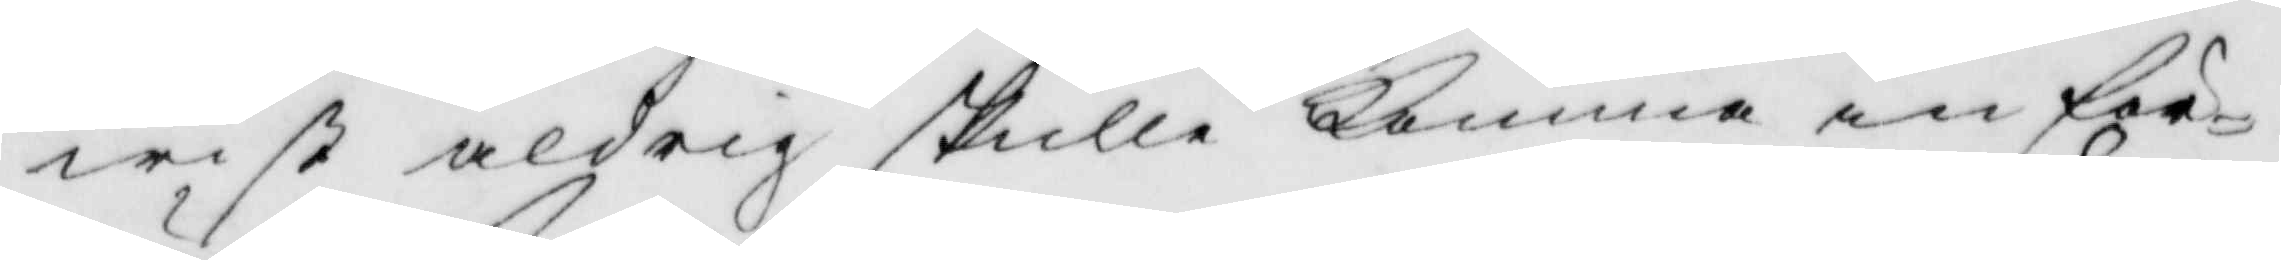wist aldrig skulle komma in för
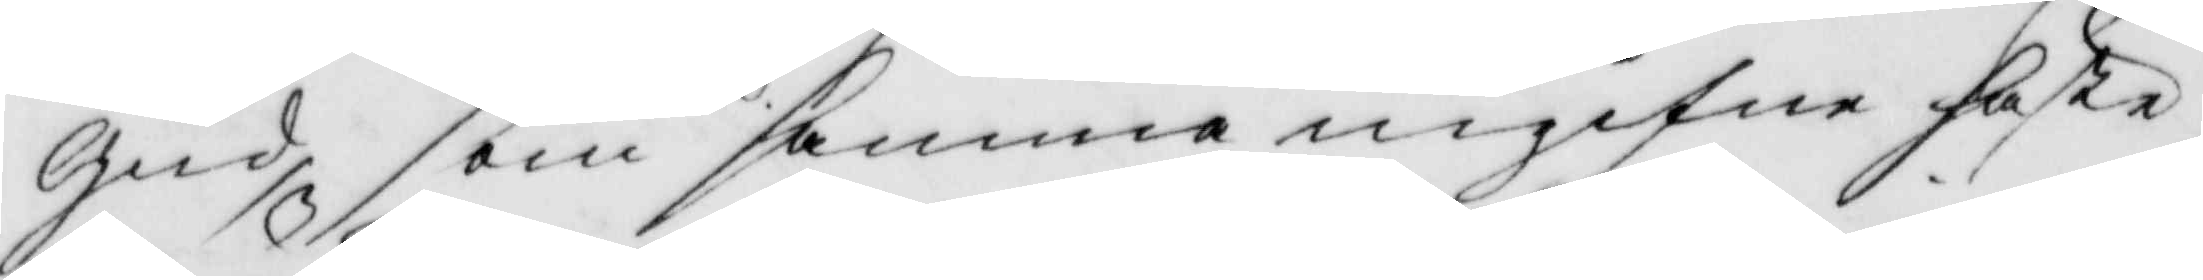Gud, som samma ingifne häste
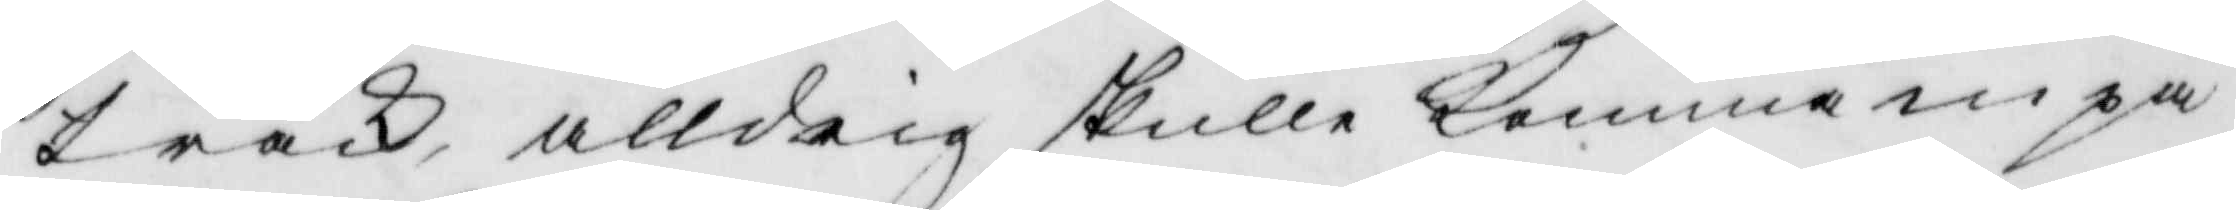träck, alldrig skulle komma inpå
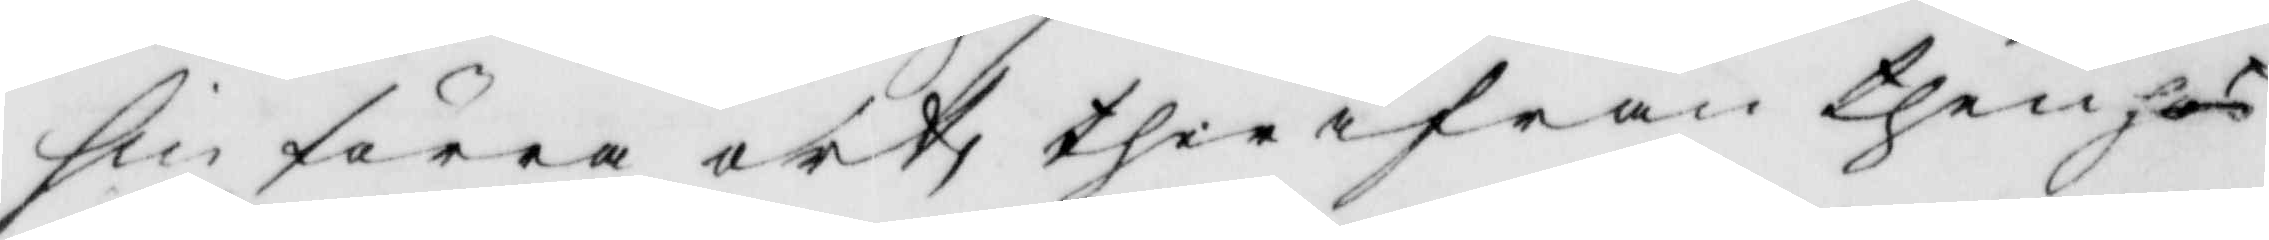sin förra ort, ther ifrån then hos
